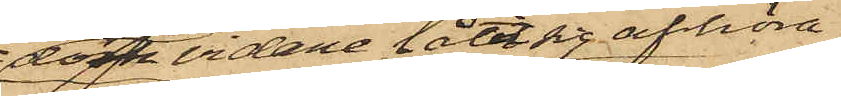dock vidare låtit sig afhöra
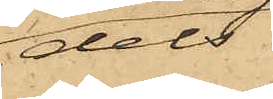dels
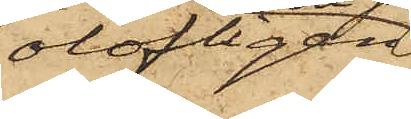olofligen
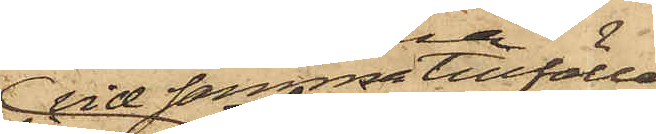vid samma tillfälle
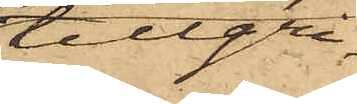tillgri¬
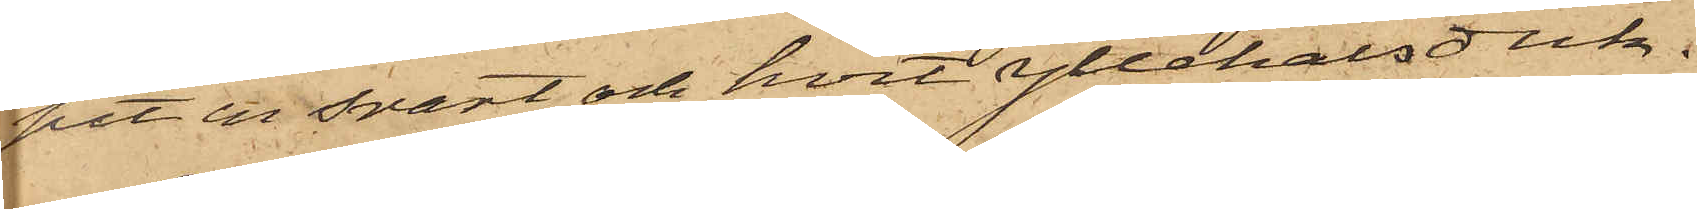pit en svart och hvit yllehalsduk.
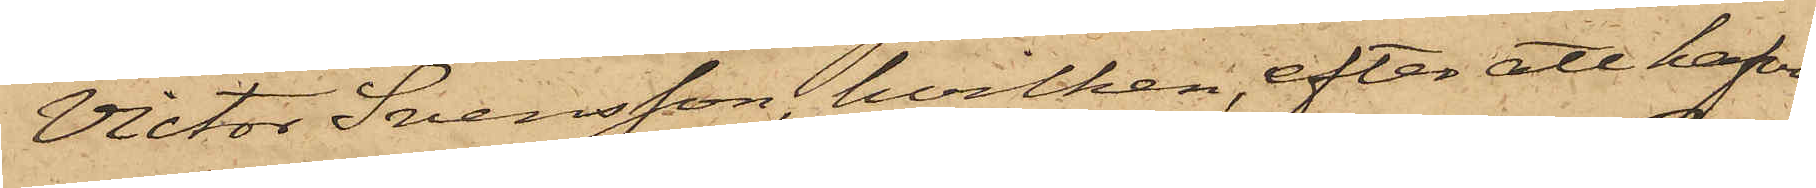Victor Svensson, hvilken, efter att hafva
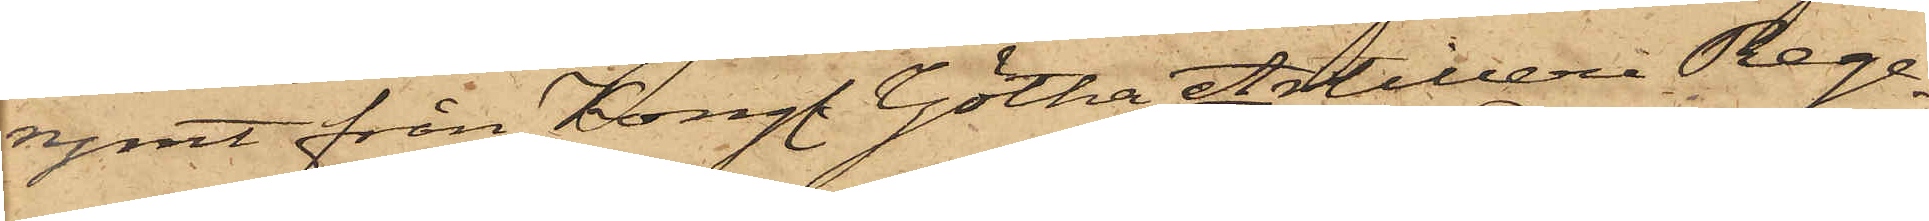rymt från Kongl. Götha Artilleri Rege¬
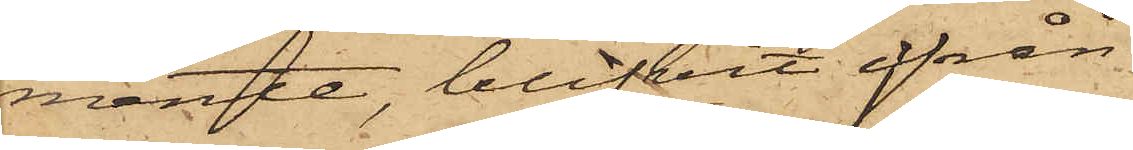mente, blifvit ifrån
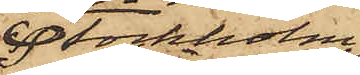Stockholm
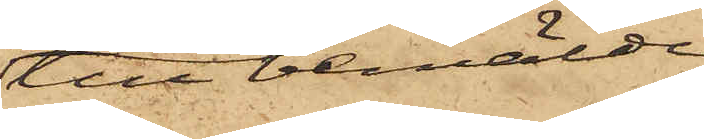till bemälde
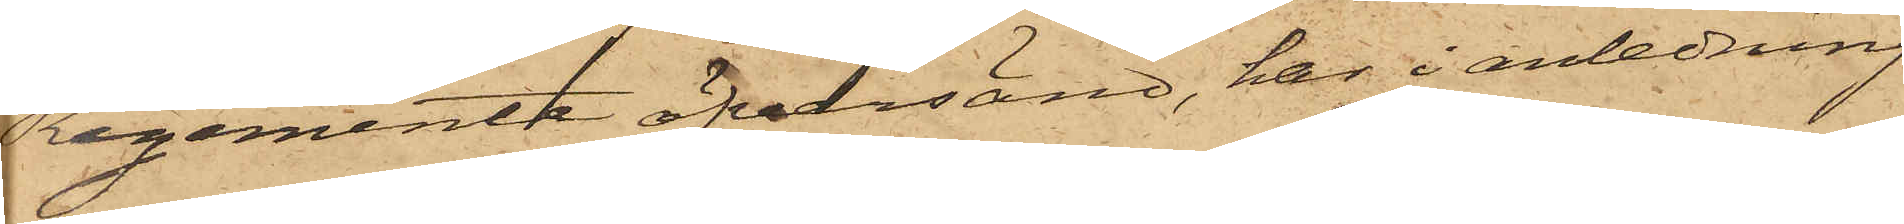Regemente öfversänd, har i anledning
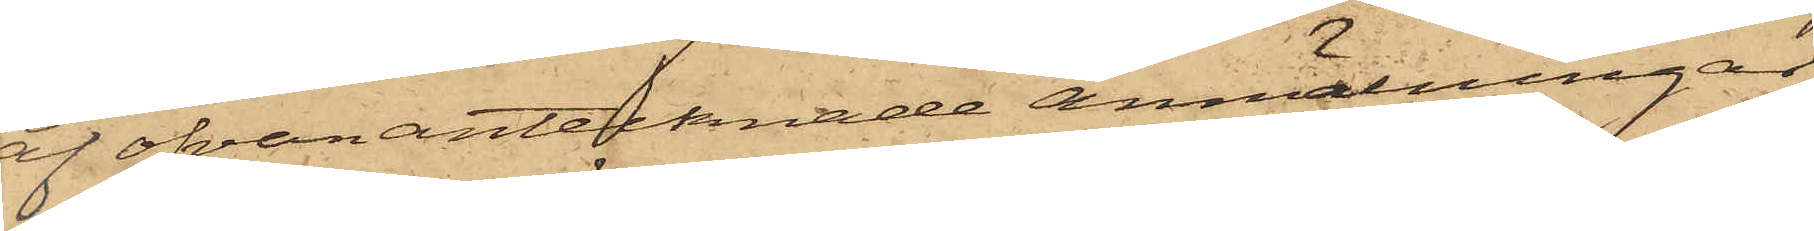af ofvan antecknade anmälningar
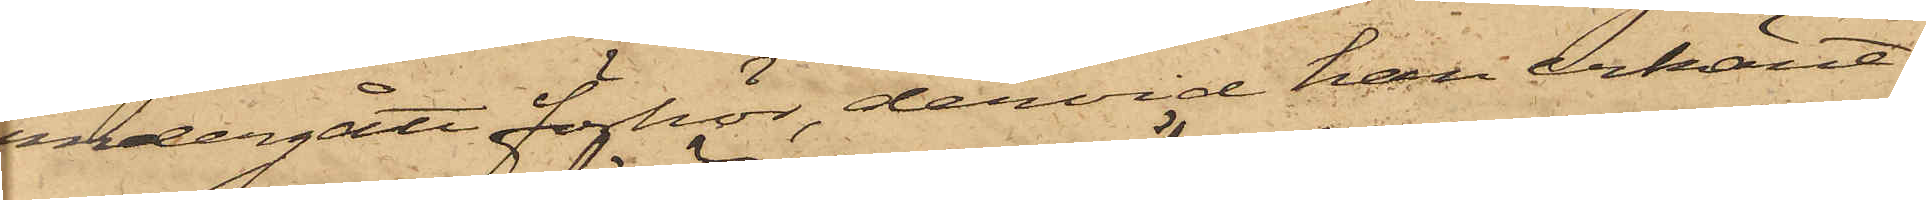undergått förhör, dervid han erkänt:
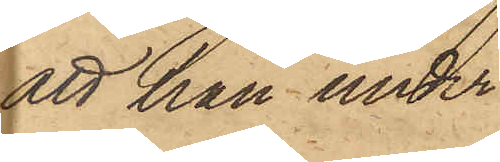att han under
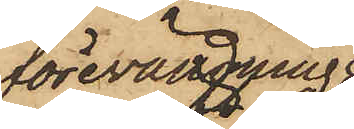förevändning
